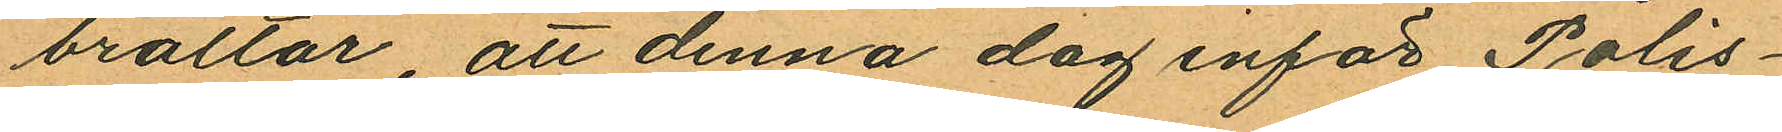braltar, att denna dag inför Polis¬
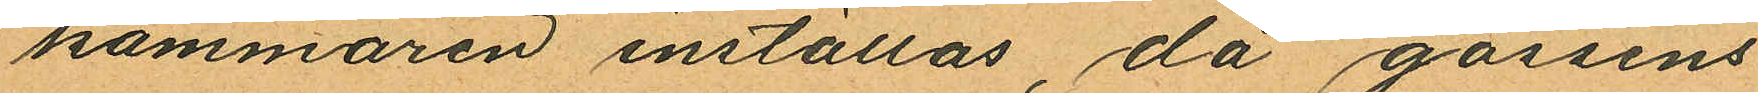kammaren inställas, då gossens
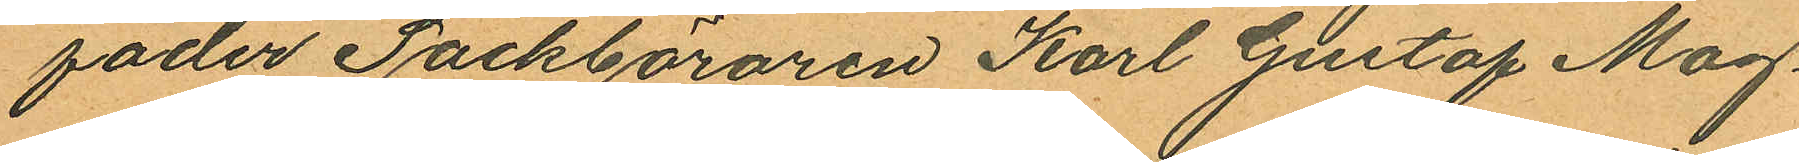fader Säckbäraren Karl Gustaf Mag¬
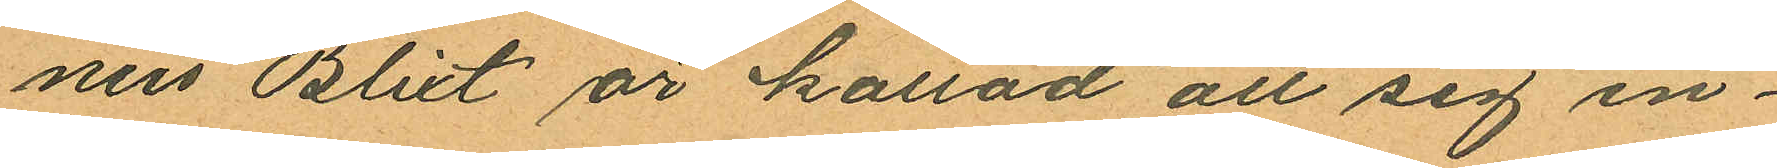nus Blixt är kallad att sig in¬
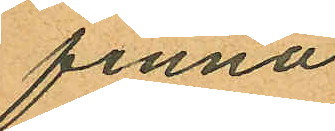finna
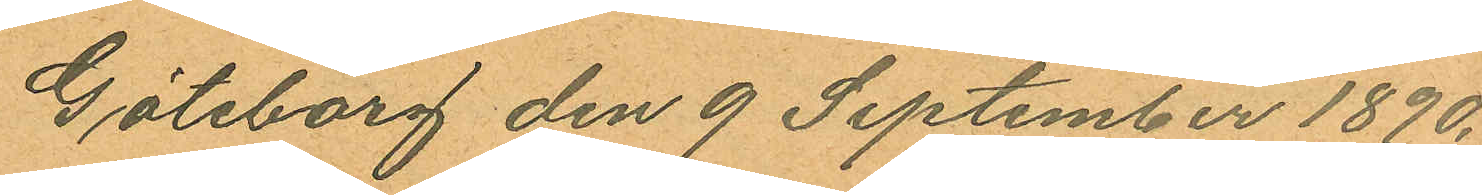Göteborg den 9 September 1890.
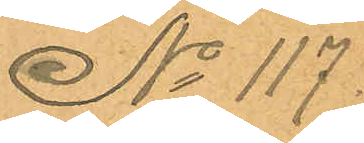No 117.
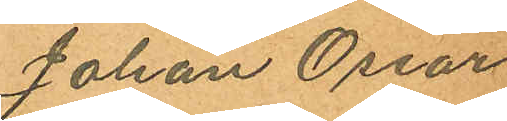Johan Oscar
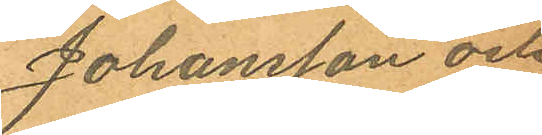Johansson och
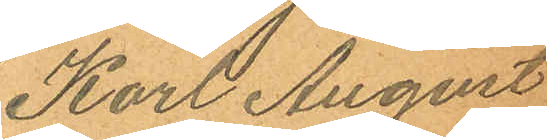Karl August
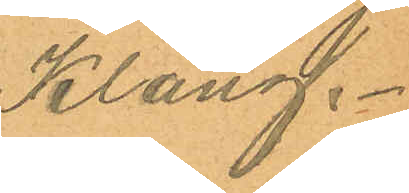Klang.
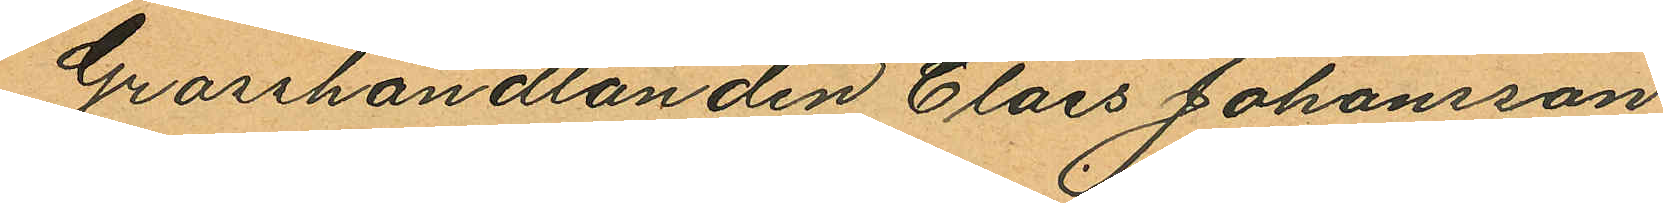Grosshandlanden Claes Johansson
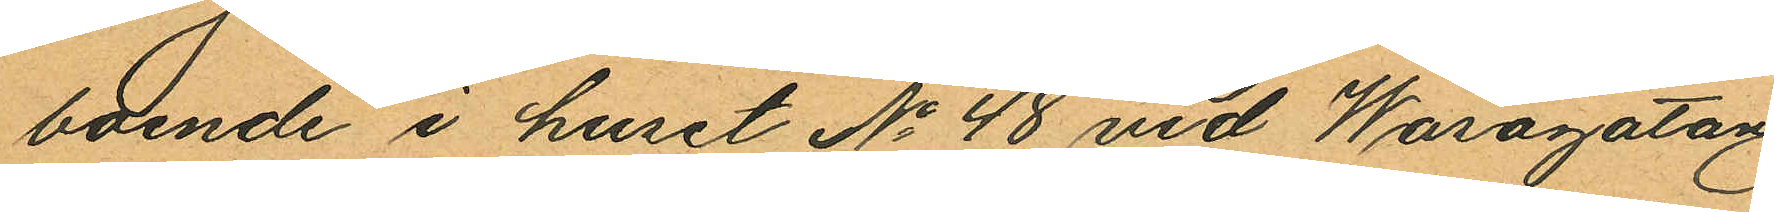boende i huset No 48 vid Wasagatan
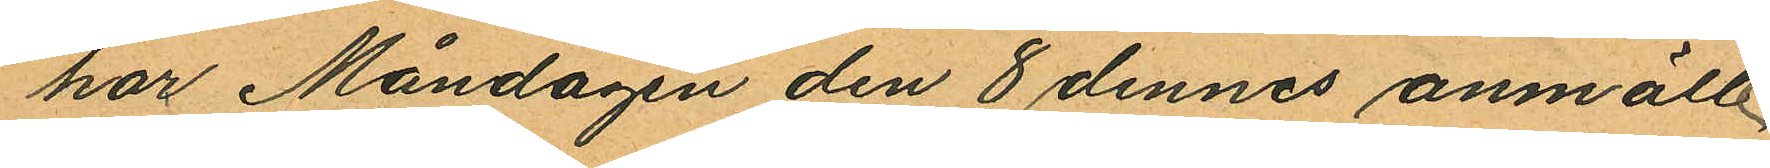har Måndagen den 8 dennes anmält
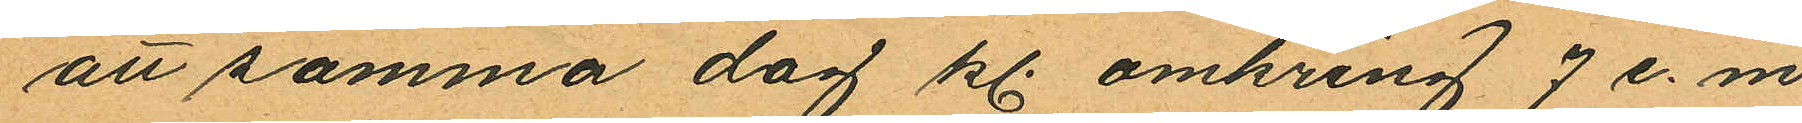att samma dag kl. omkring 7 e. m.
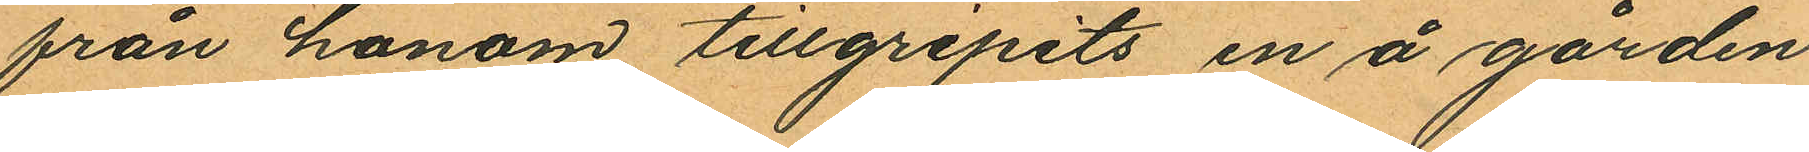från honom tillgripits en å gården
